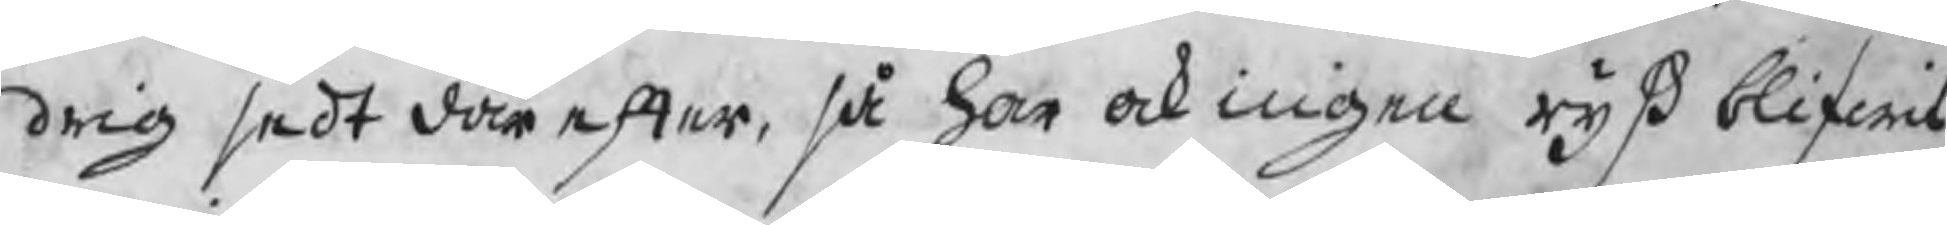drig sedt därefter, så har ock ingen ryß blifwit
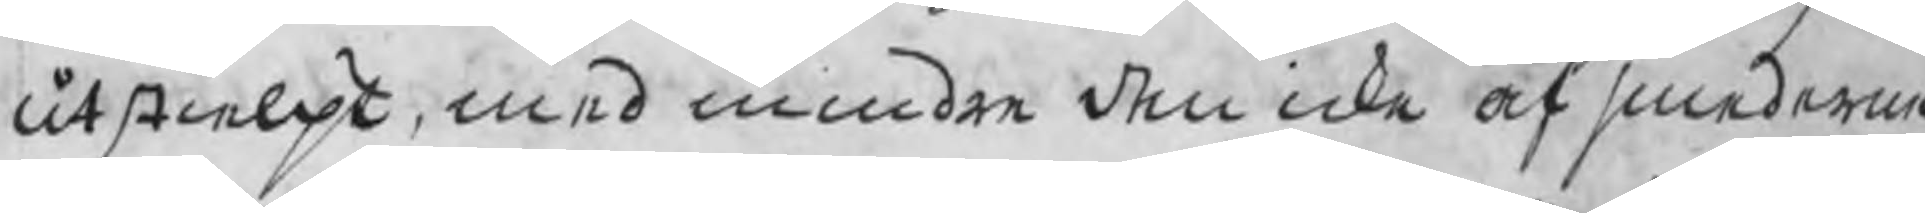utstielpt, med mindre den icke af smederna
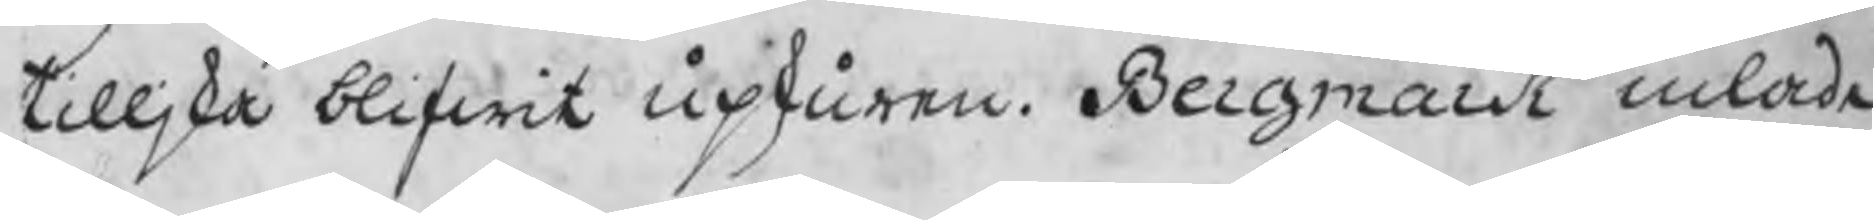tilljka blifwit upskuren. Bergmark inlade
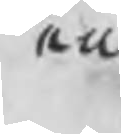en
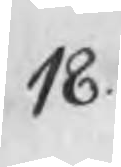18.
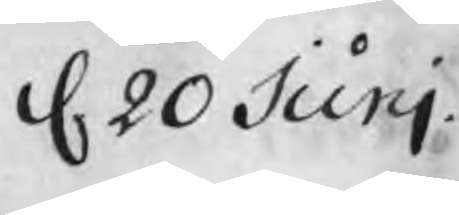d 20 Junj
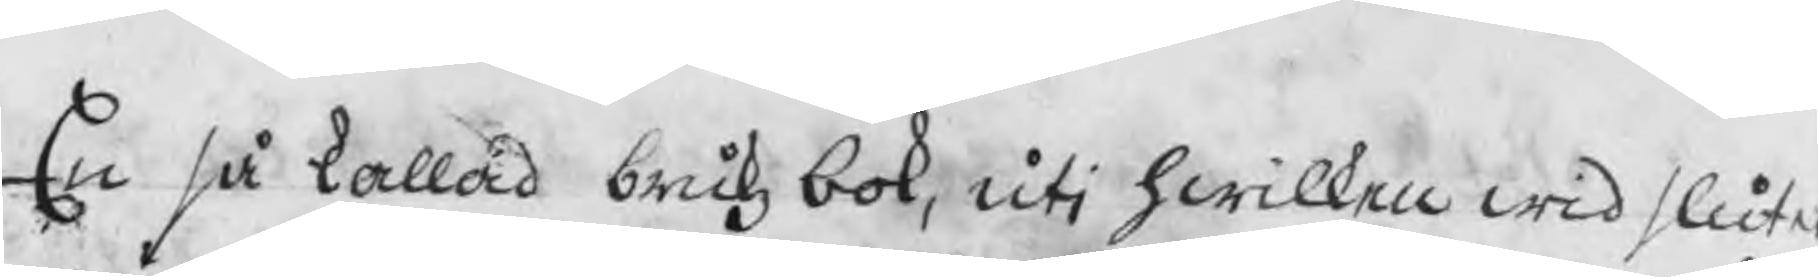En så kallad brukz bok, uti hwilken wid slutet
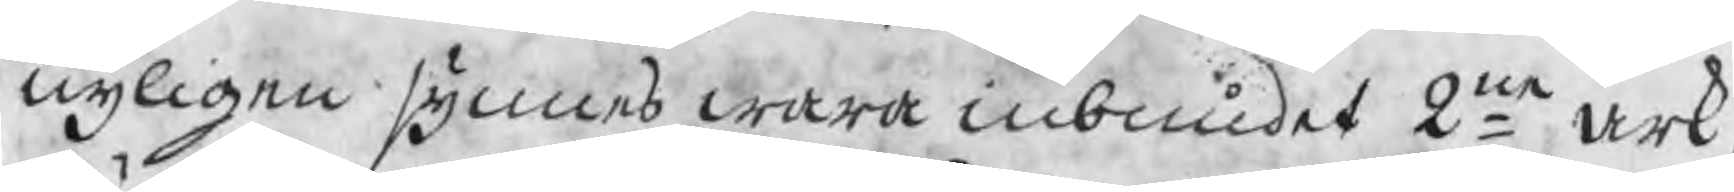nyligen synnes wara inbundet 2ne ark,
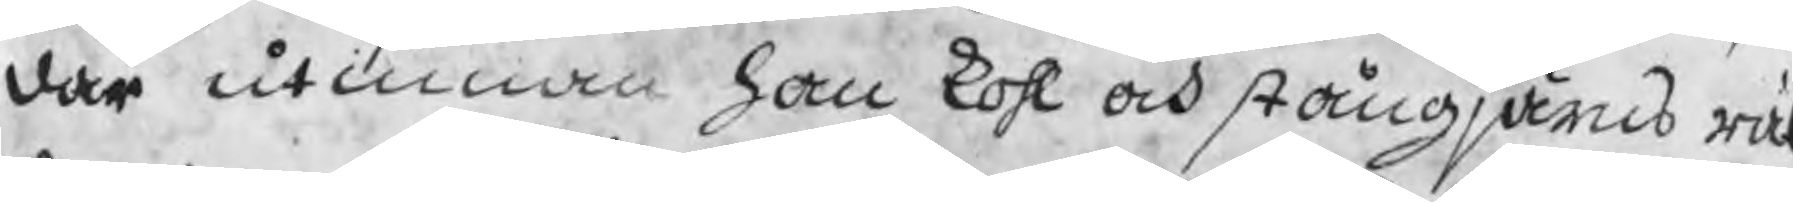där utinnan han kohl och stångjärns rä
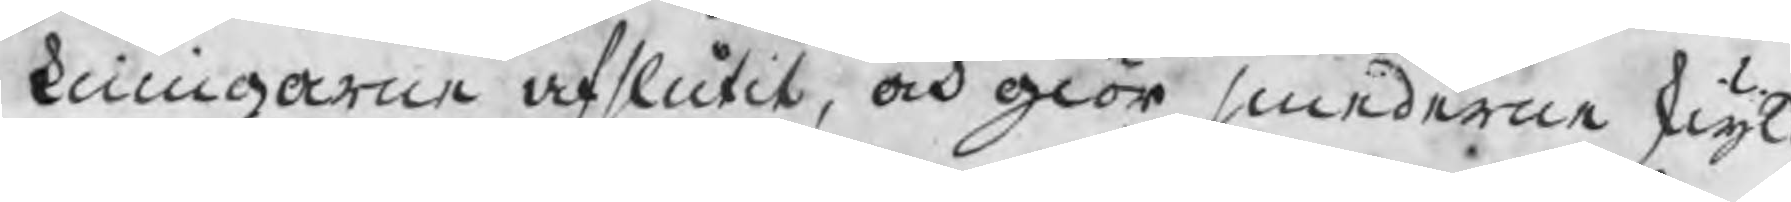kningarne afslutit, och giör smederne skyld
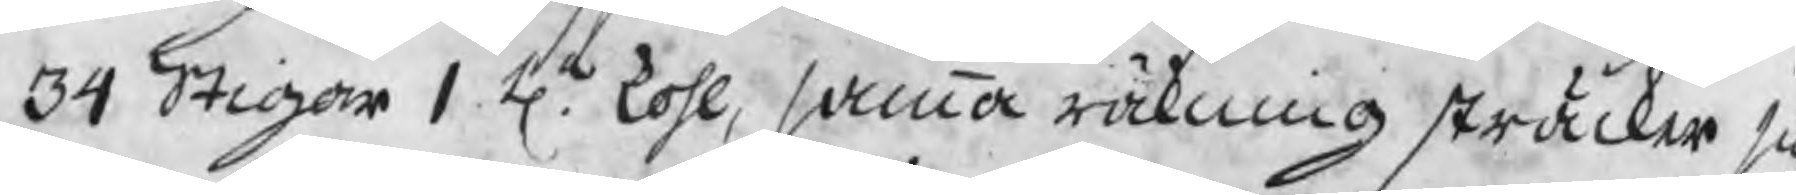34 Stigar 1 Ha kohl, samma räkning sträcker sig
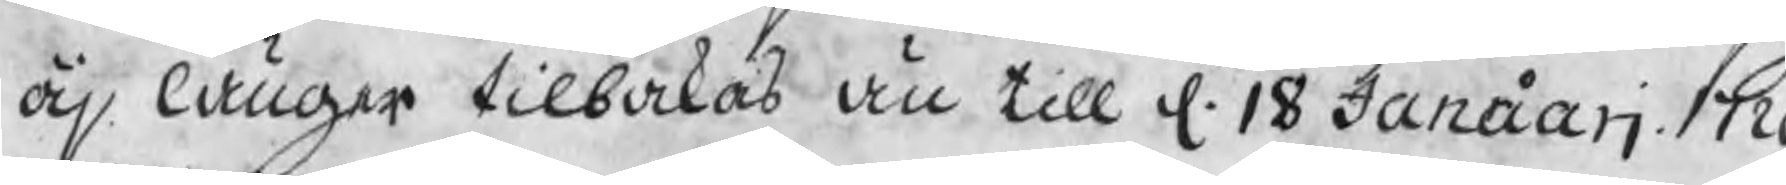äj länger tilbakas än till d. 18 Januarj 1720
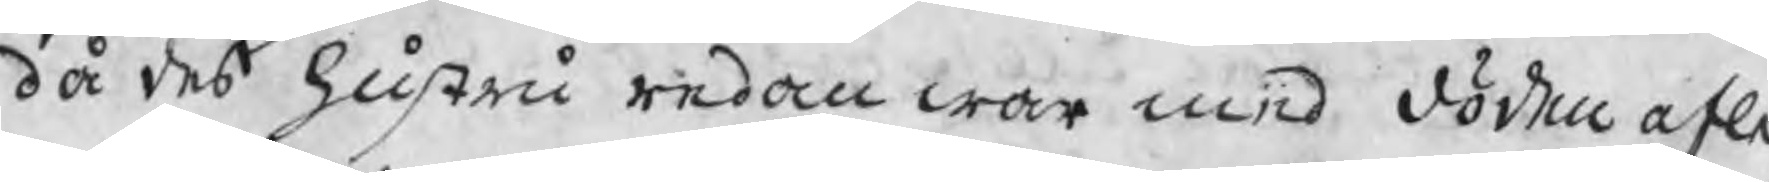då des hustru redan war med döden afle-
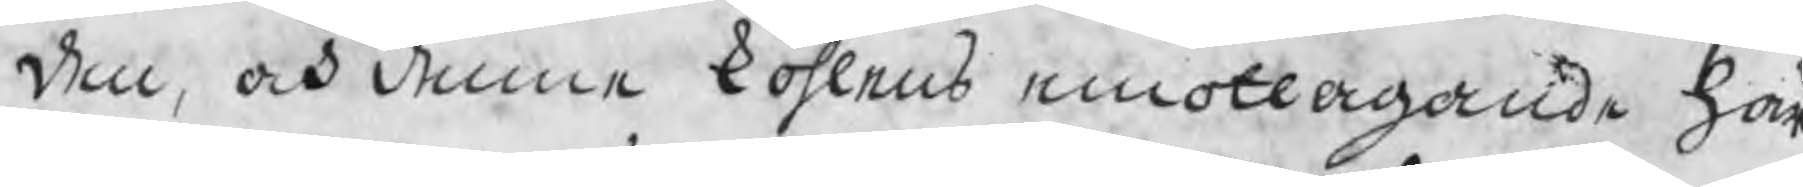den, och denne kohlens emottagande här
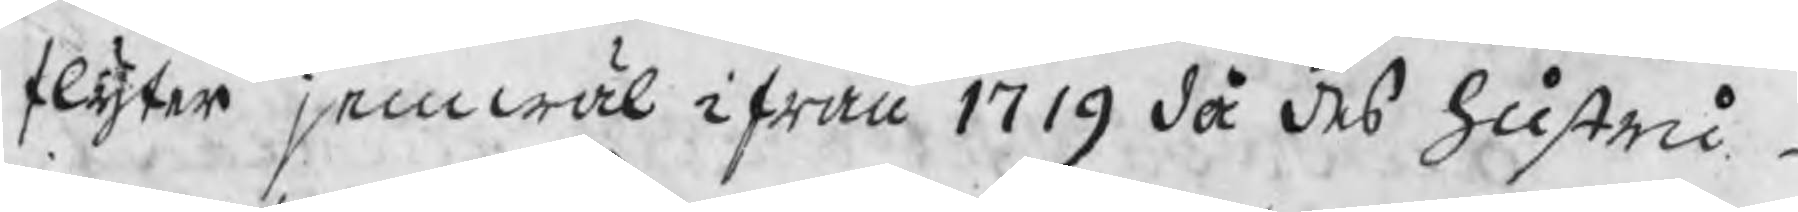flyter jemwäl ifrån 1719 då des hustru
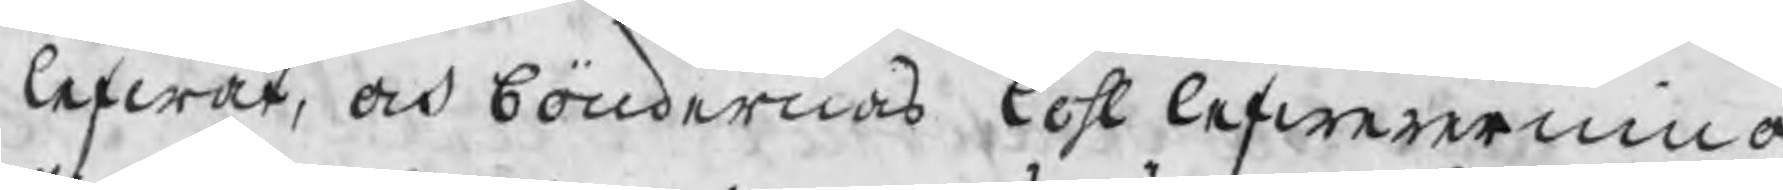lefwat, och böndernas kohl lefwererning
